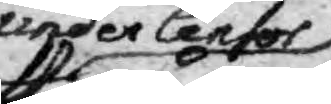under Censor
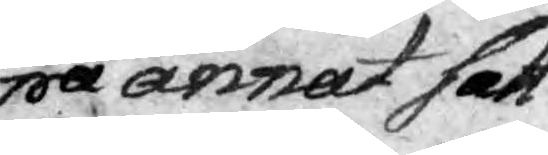pa annat sätt
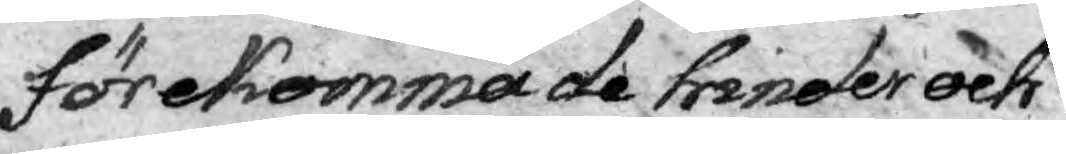Förekommade hinder och
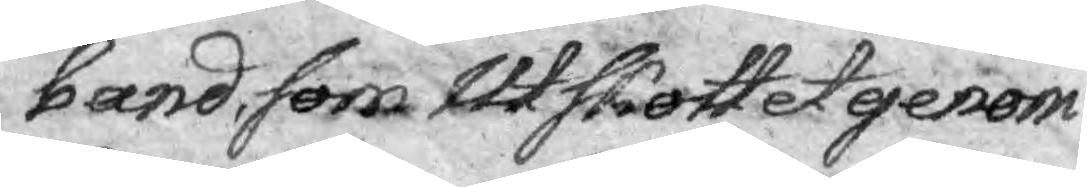band, som Utskottet genom
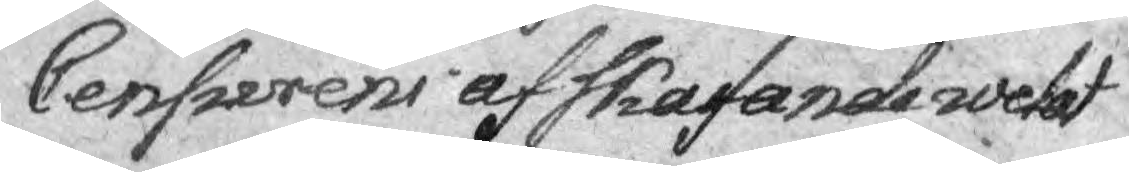Censurens afskafande wetat
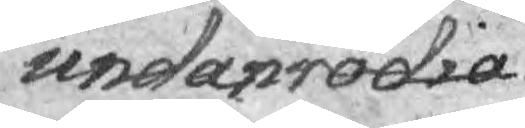undanrödia.
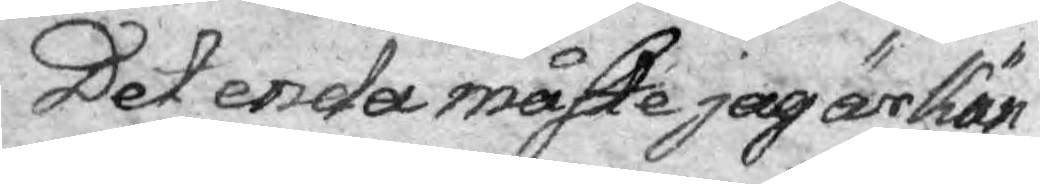Det enda måste jag ärkän¬
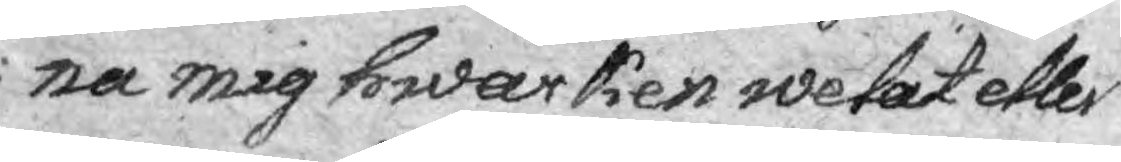na mig hwarken wetat eller
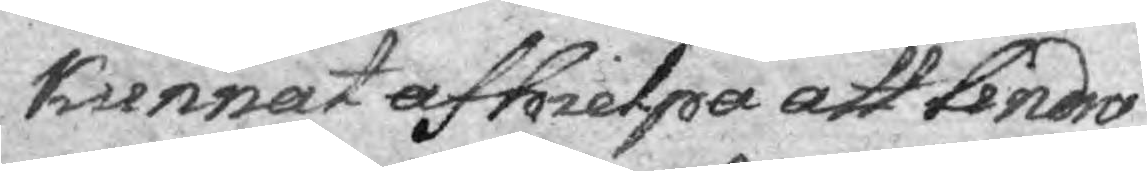kunnat afhielpa att lindra
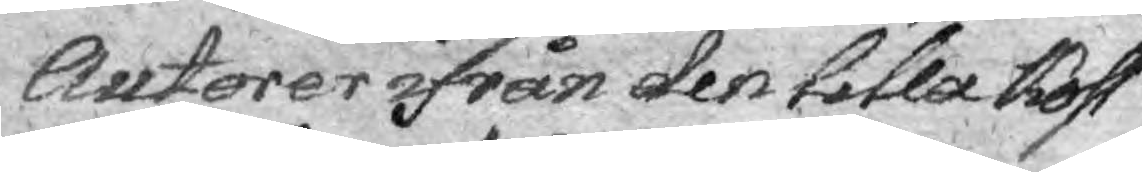Autorer ifrån den lika kost¬
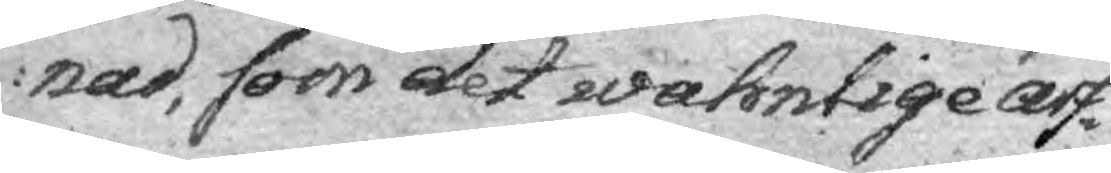nad, som det wahnlige arf¬
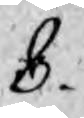8.
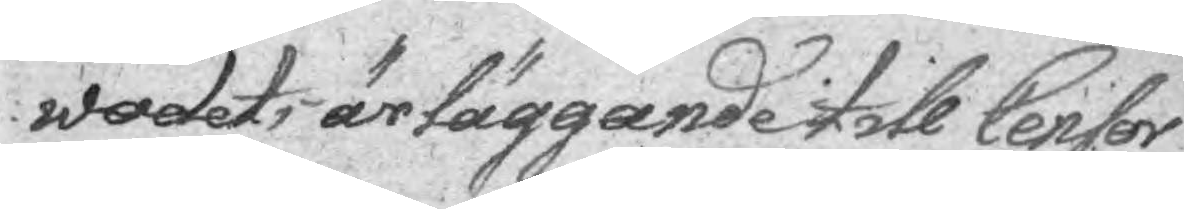wodets ärtäggande till Censor
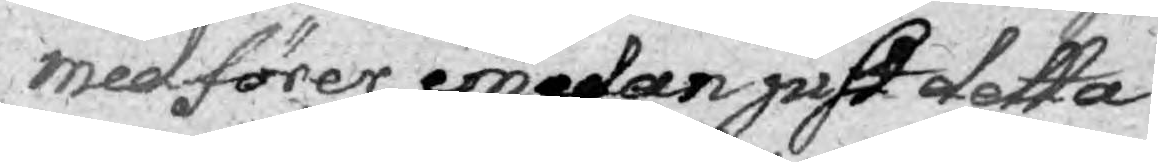medförer, emedan just detta
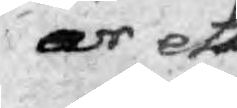är ett
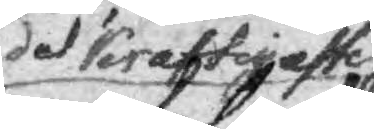det kraftigaste
